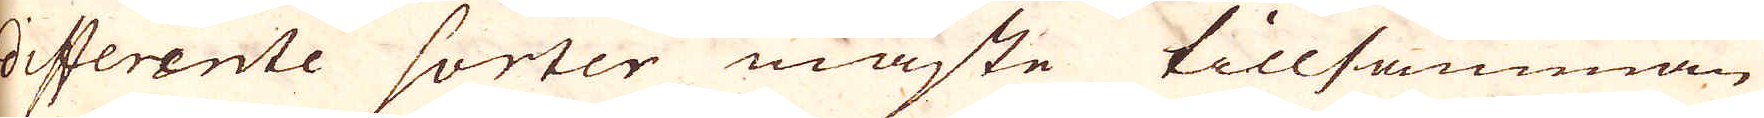differente sorter måste tillsamman
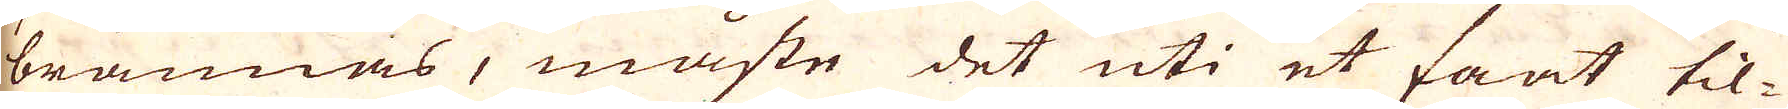brännas, måste det uti et faat til-
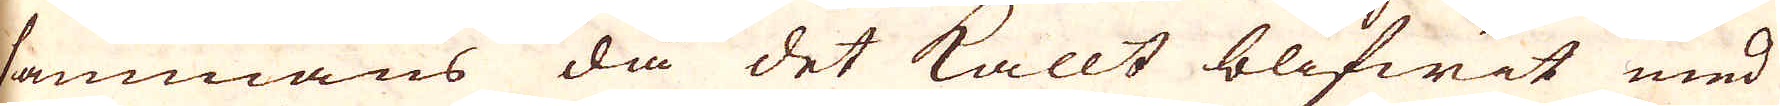sammans då det kallt blifwit med
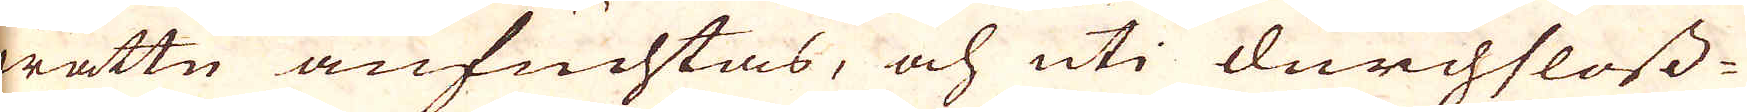wattn anfuchtas, och uti durchfloss-
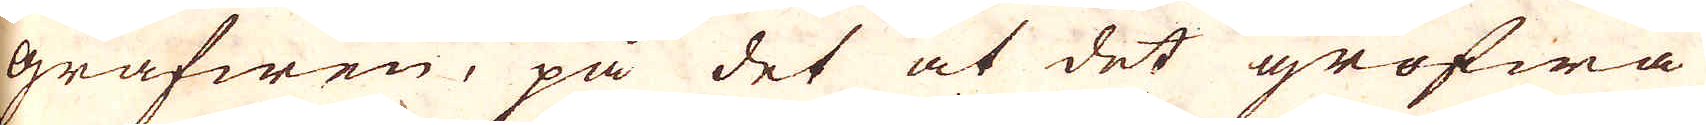grafwen, på det at det grofwa
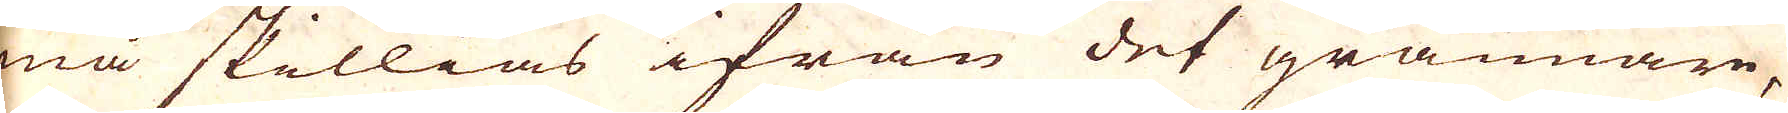må skillias ifrån det grannare,
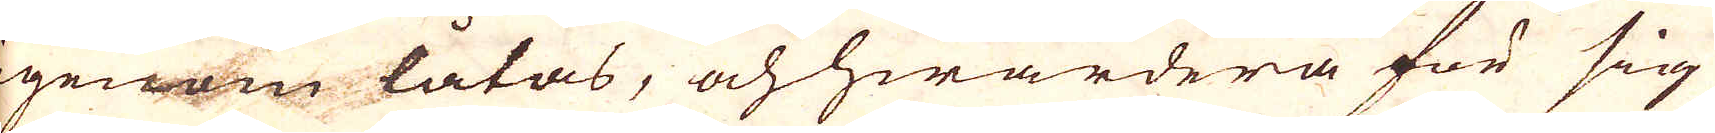igenom låtas, och hwardera för sig
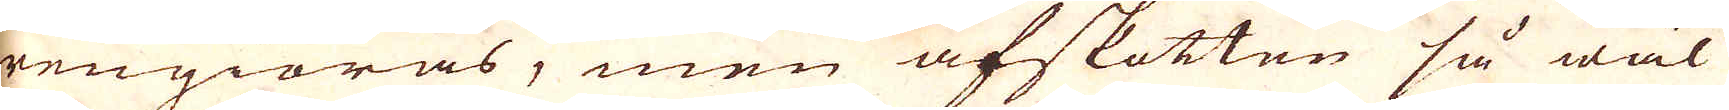rengiöras, men afskotten så wäl
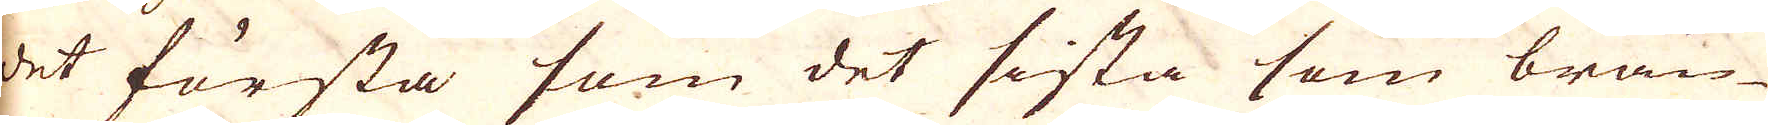det första som det sista som brän-
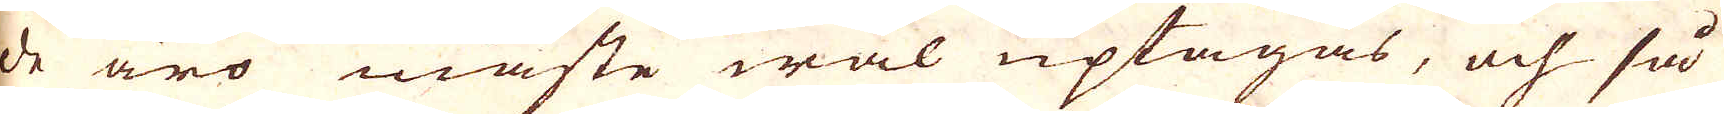de äro måste wäl uptagas, och så
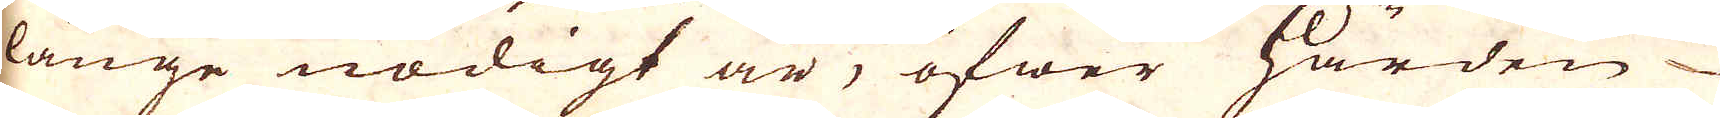långe nödigt är, öfwer härden
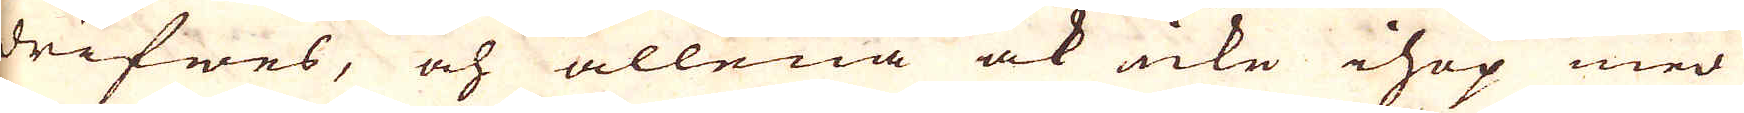drifwes, och allena ock icke ihop med
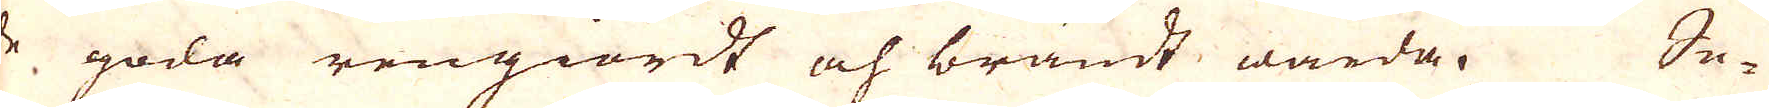de goda rengiordt och brändt warda. Se-
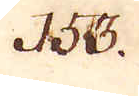153.
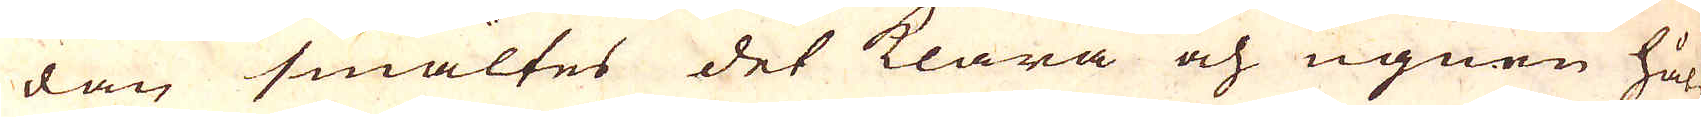dan smältes det klara och ugnen hål-
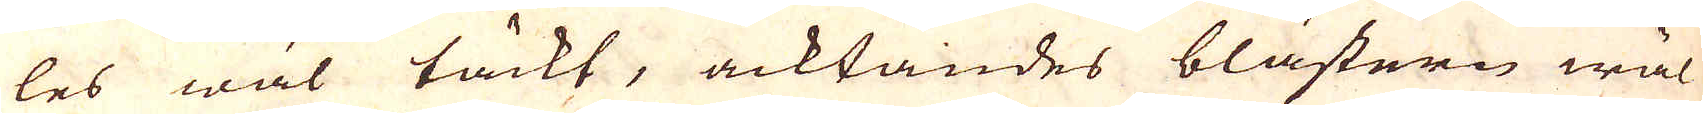les wäl täckt, acktandes blästern wäl
